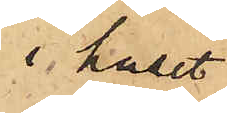i huset
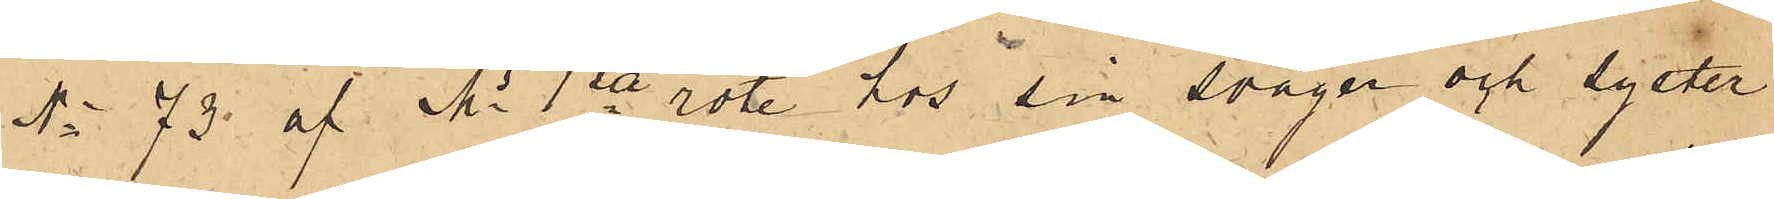No 73 af Ms 1sta rote hos sin svåger och syster
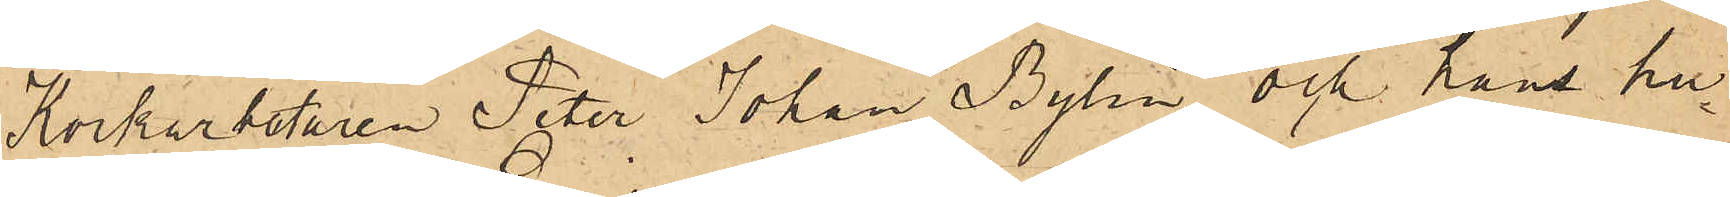Korkarbetaren Peter Johan Bylin och hans hu¬
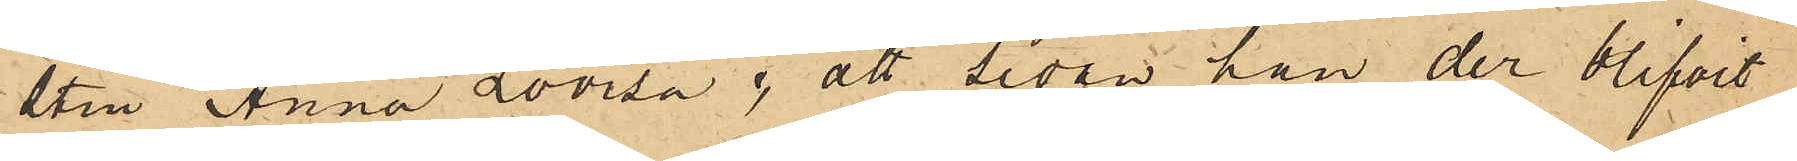stru Anna Lovisa; att sedan han der blifvit
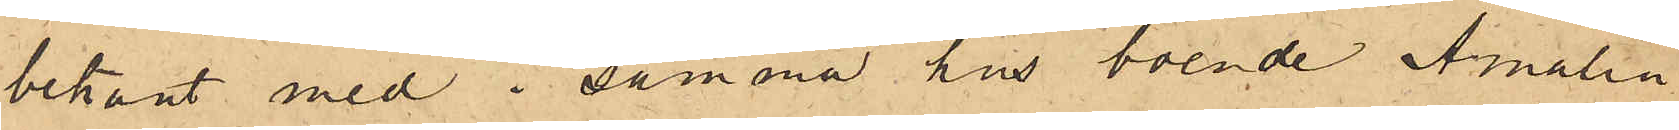bekant med i samma hus boende Amalia
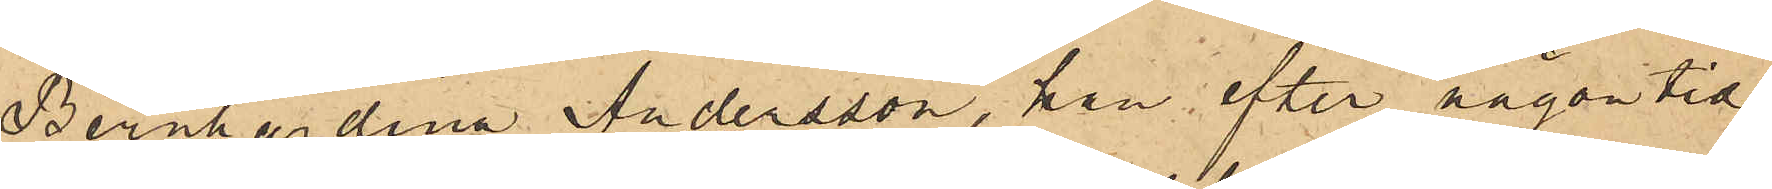Bernhardina Andersson, han efter någon tid
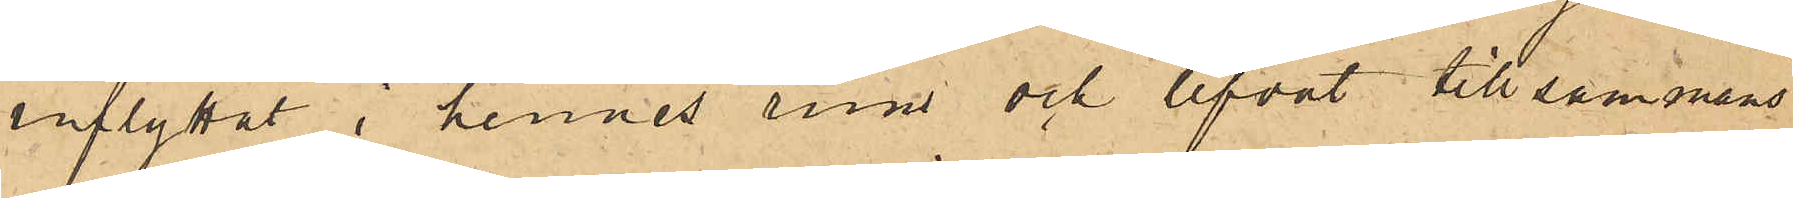inflyttat i hennes rum och lefvat tillsammans
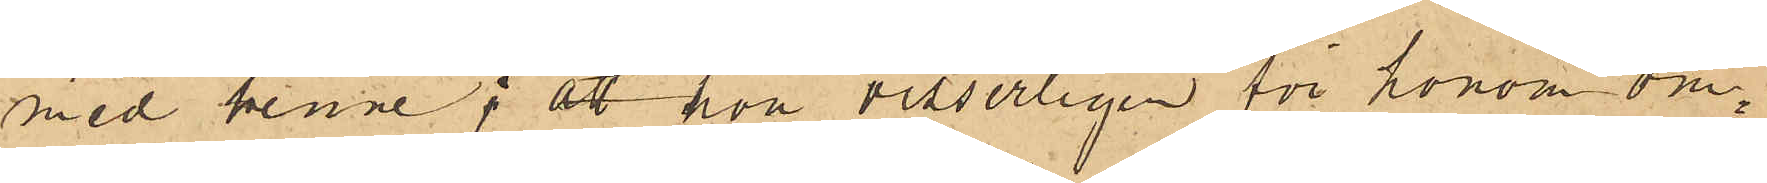med henne; att hon visserligen för honom om¬
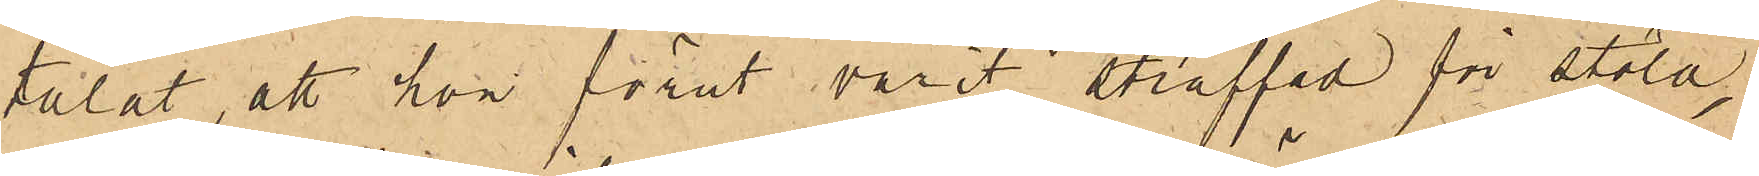talat, att hon förut varit straffad för stöld,
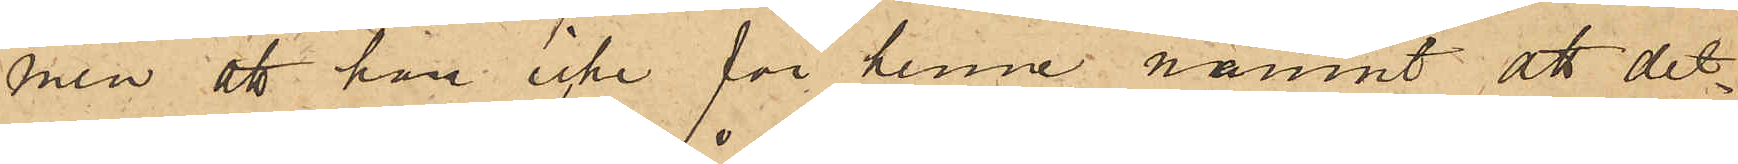men att han icke för henne nämnt att det¬
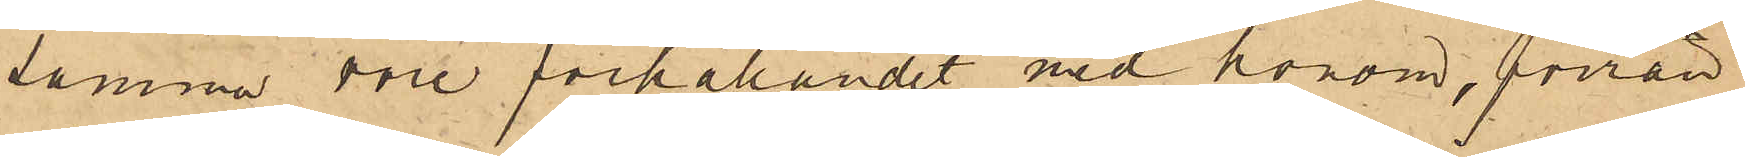samma vore förhållandet med honom, förrän
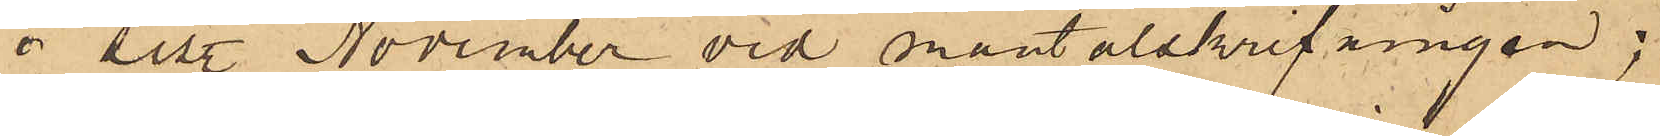i sist. November vid mantalskrifningen;
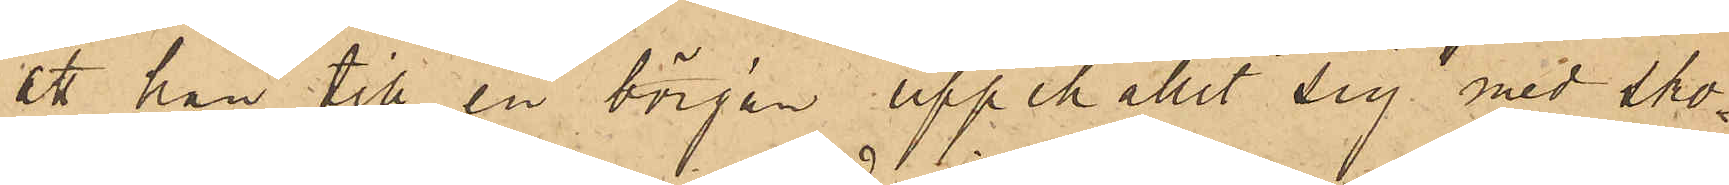att han till en början uppehållit sig med sko¬
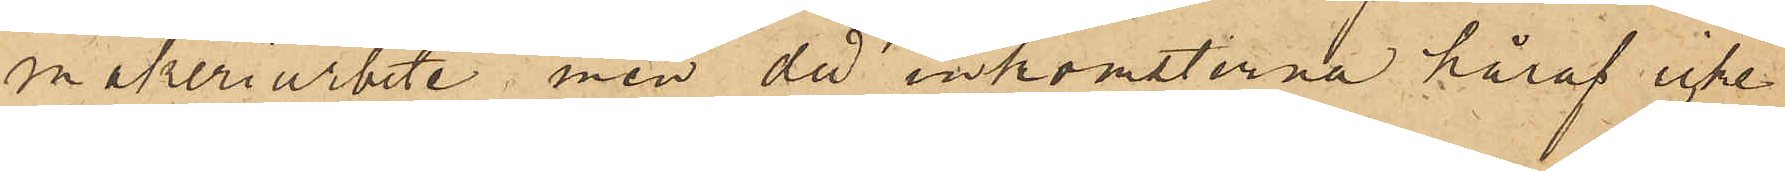makeriarbete, men då inkomsterna häraf icke
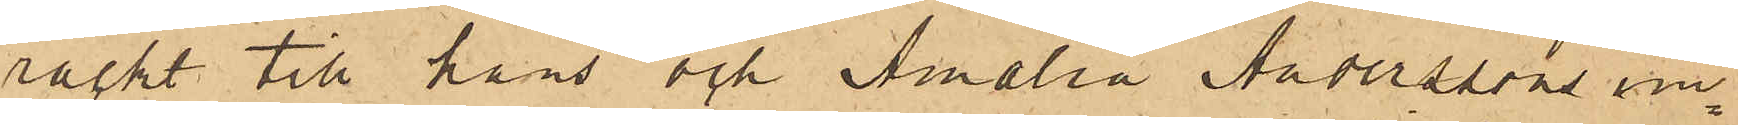räckt till hans och Amalia Anderssons un¬
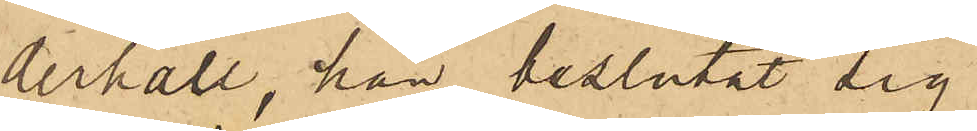derhåll, han beslutat sig
